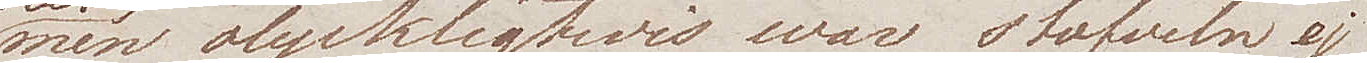men olyckligtwis war stöfveln ej
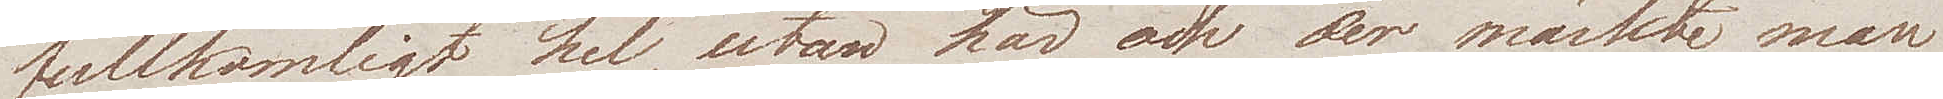fullkomligt hel, utan här och der märkte man
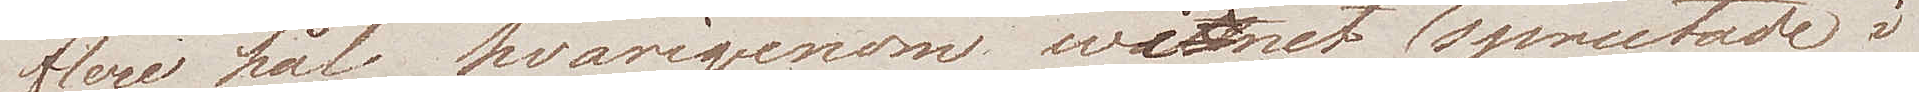flere hål hvarigenom winet utsprutade i
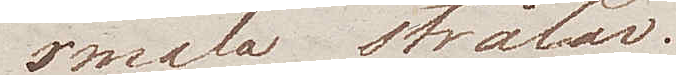smala strålar.
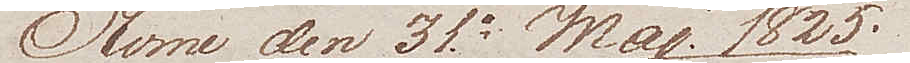Rome den 31e Maj 1825
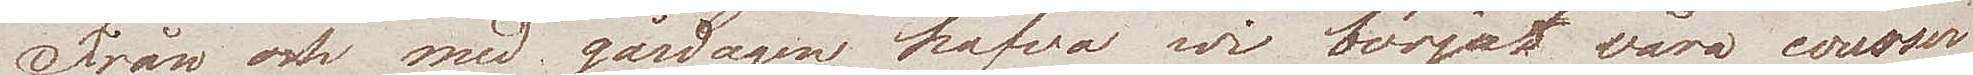Från och med gårdagen hafva wi börjat våra courser
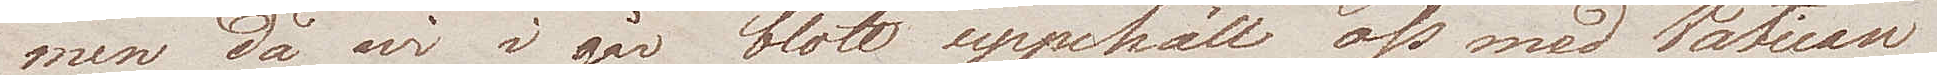men då wi i går blott uppehöll oss med Vatican
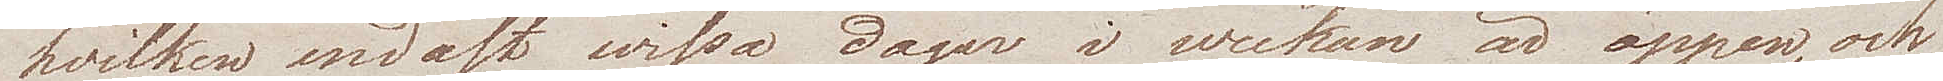hvilken endast wissa dagar i weckan är öppen, och
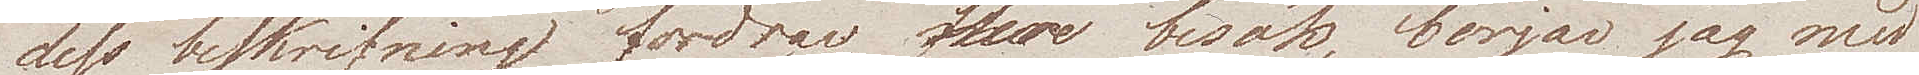dess beskrifning fordrar flere besök, börjar jag med
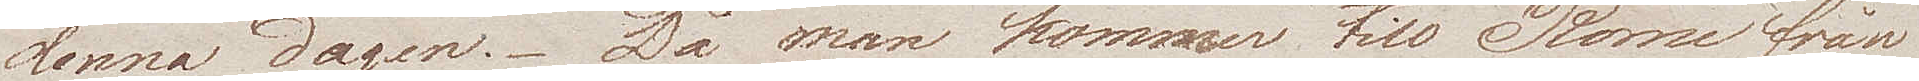denna dagen. Då man kommer till Rome från
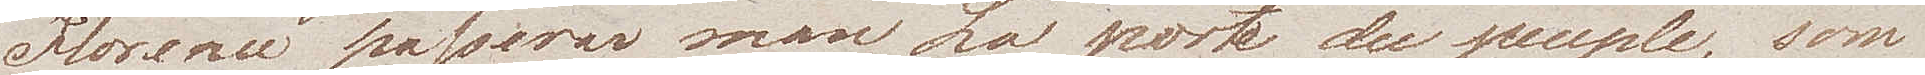Florence passerar man La porte du peuple, som
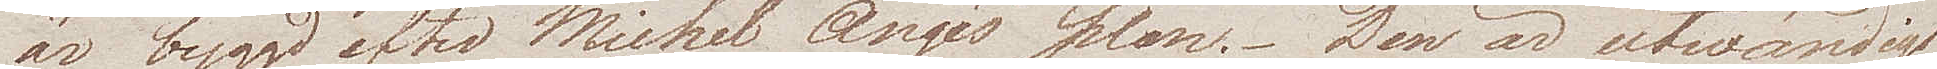är byggd efter Michel Ange's plan. Den är utwändigt
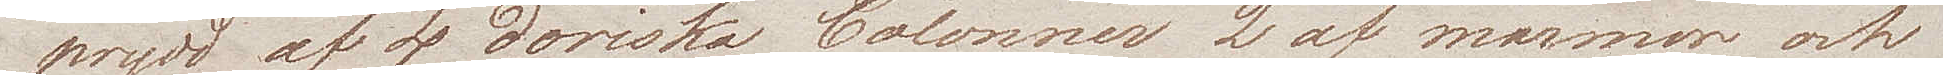prydd af 4 doriska Colonner 2 af marmor och
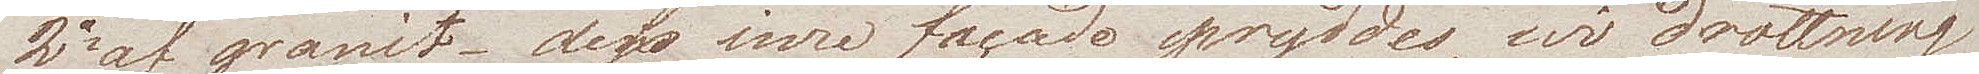2 af granit – dess inre facade pryddes, wid drottning
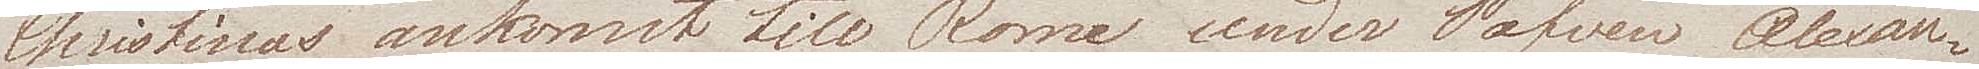Christinas ankomst till Rome under Påfven Alexan¬
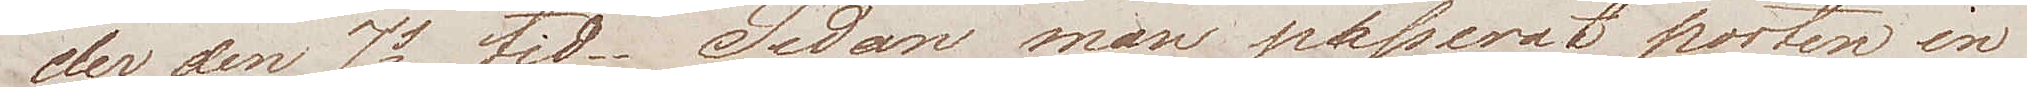der den 7s tid. Sedan man passerat porten in¬
